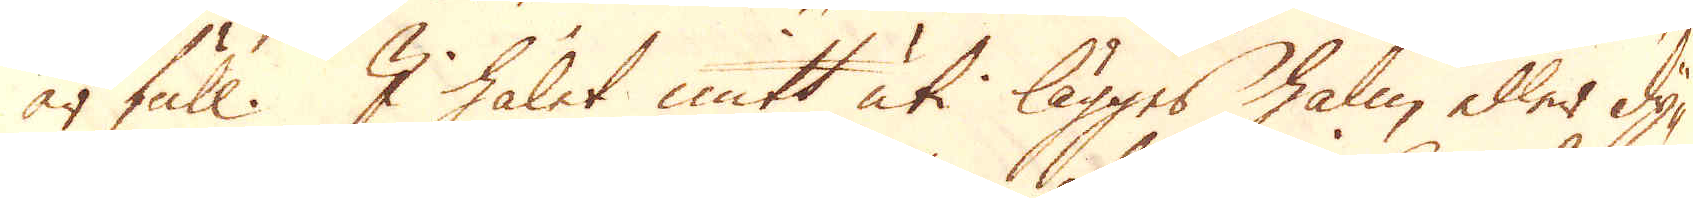är full. I hålet mitt uti lägges halm eller dy-
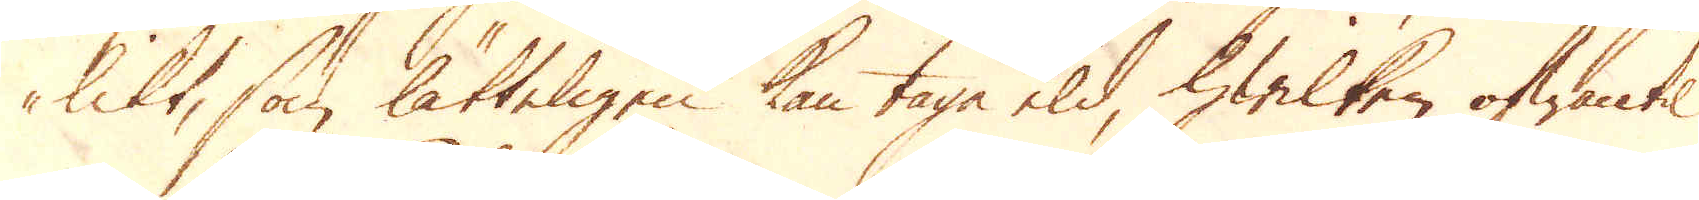likt, som lätteligen kan tage eld, hwilken ofwantil
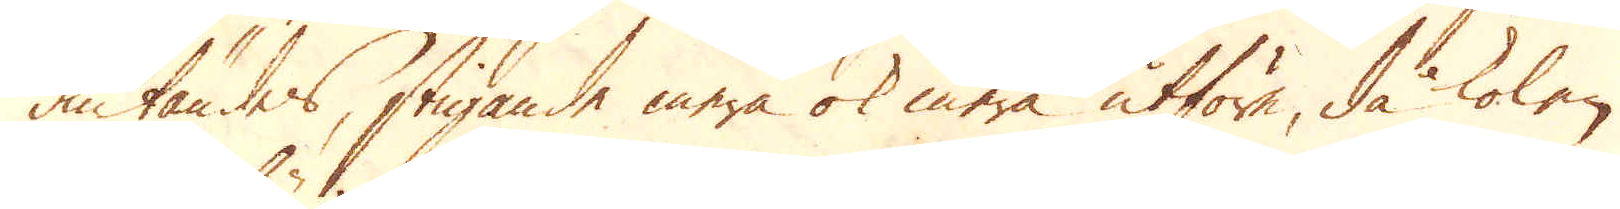antändes, stigande mera ok mera utföre, då kolen
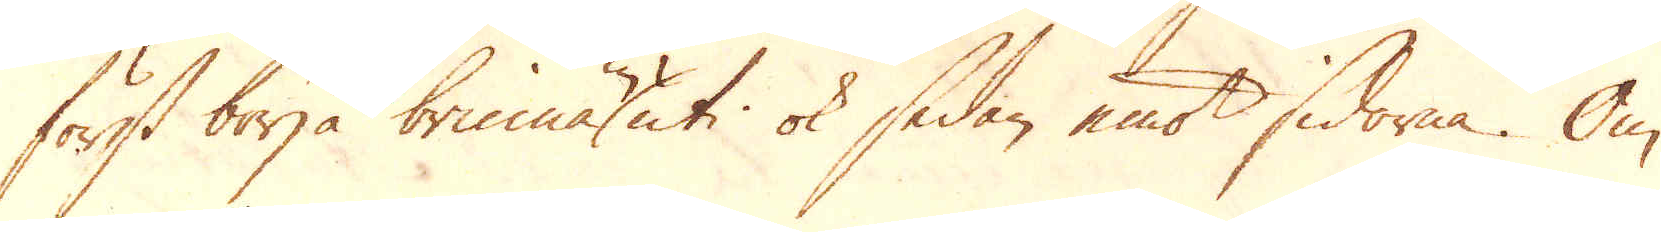först börja brinnas in uti ok sedan emot sidorna. Om
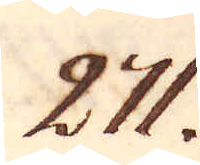271.
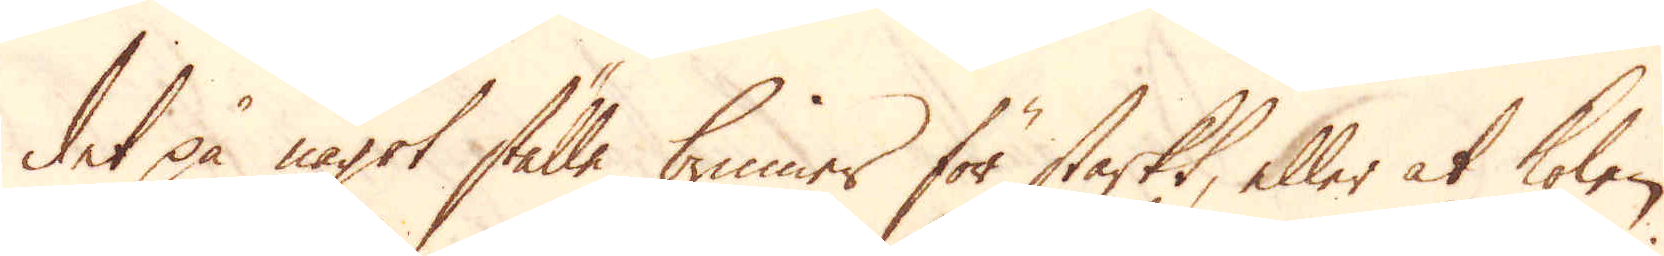det på något ställe brinner för starkt, eller at kolen
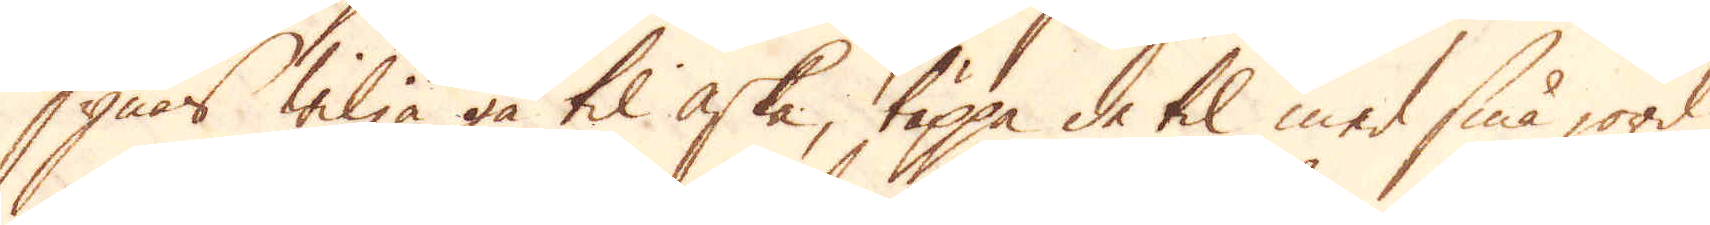synas wilja gå til aska, täppa de til med små jord
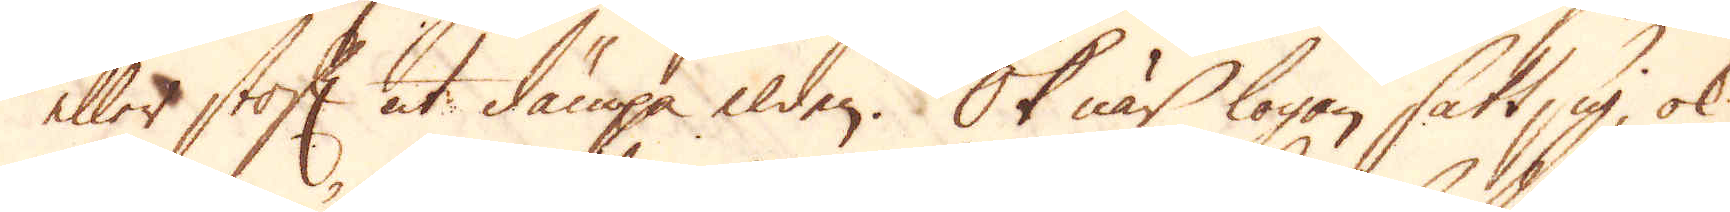eller stoft at dämpa elden. Ok när logan satt sig, ok
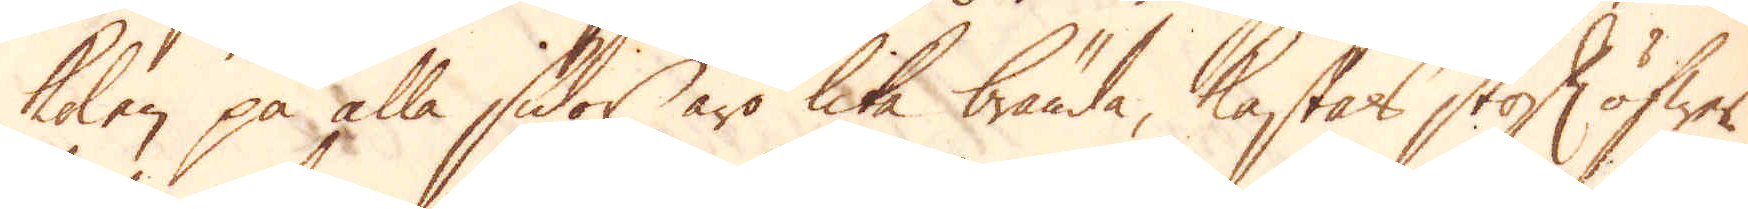kolen på alla sidor äro lika brända, kastas stoft öfwer
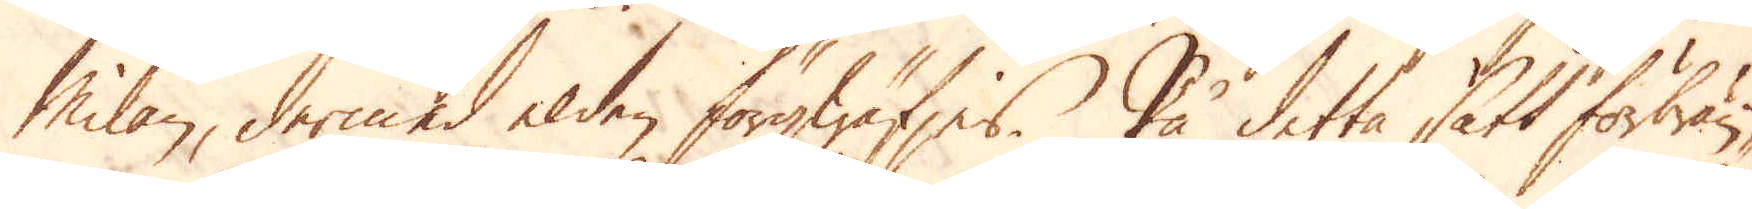Milan, dermed elden förqwäfjes. På detta sätt förbrän-
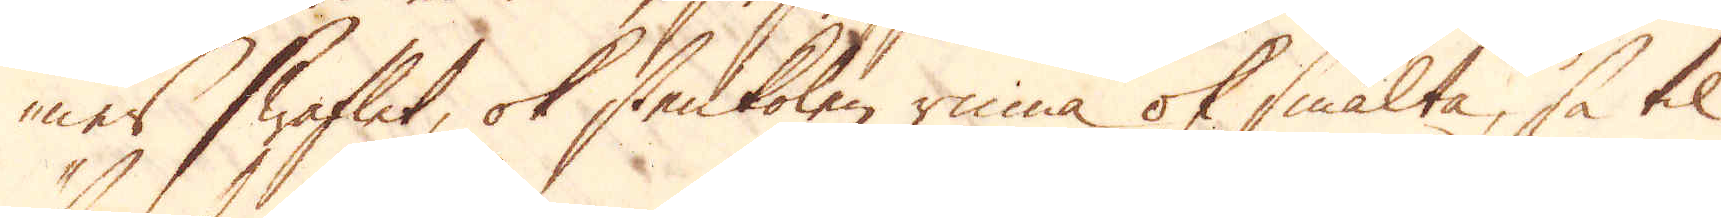nes Swaflet, ok stenkolen rinna ok smälta, så til
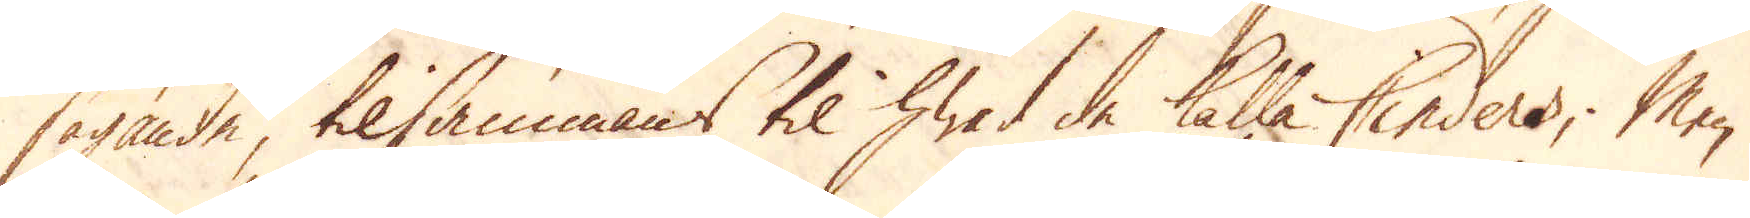sägande, tilsammans til hwad de kalla Cinders; Men
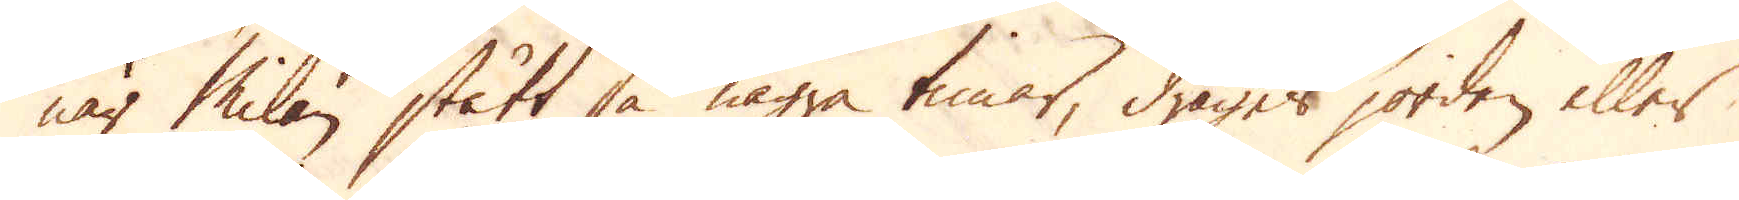när Milan stått så några timar, drages jorden eller
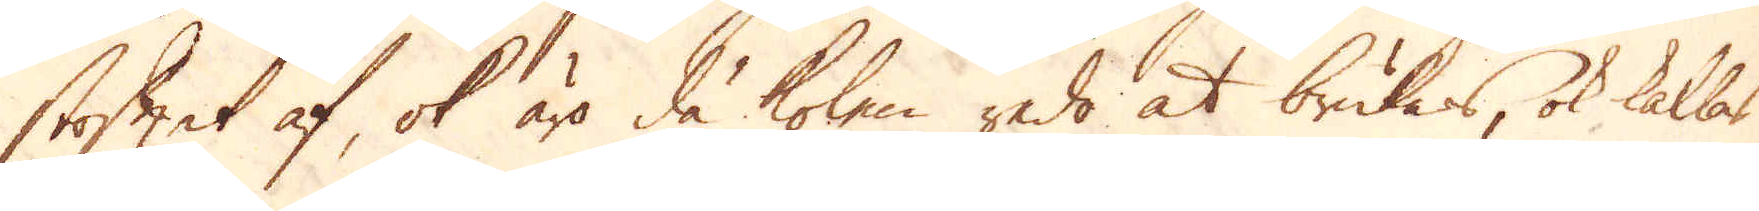skoftet af, ok äro då kolen redo at brukas, ok kallas
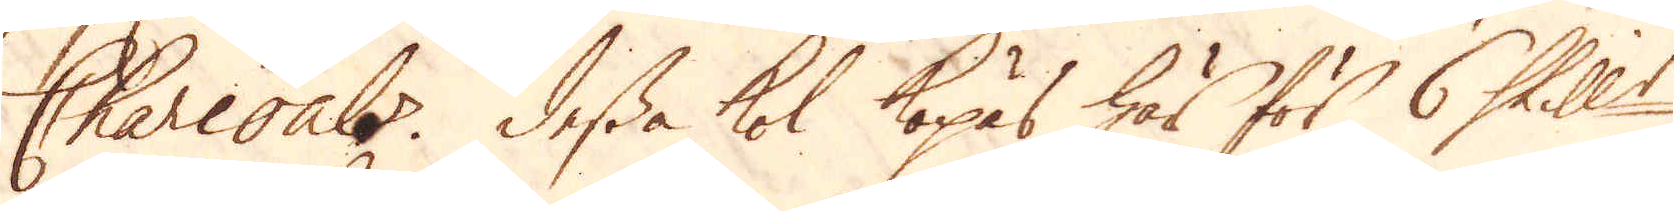Charcoals. Dessa kol köpas här för 6 Skill:r
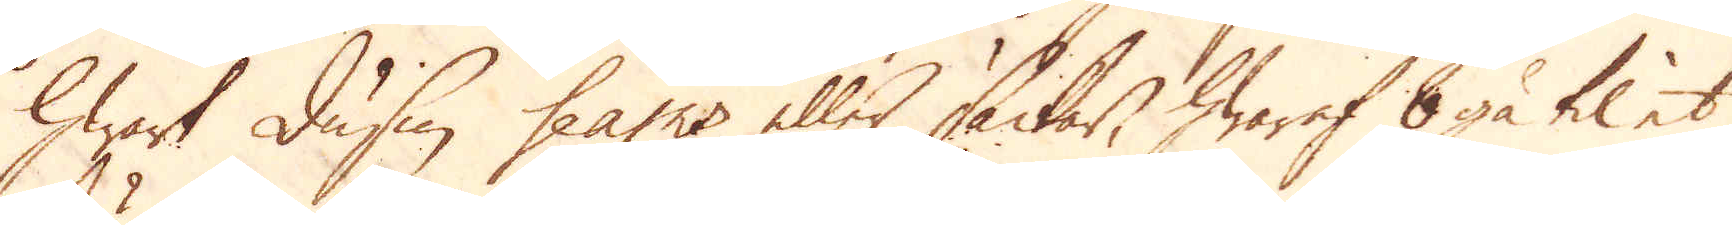hwart dussin seams eller säckar, hwaraf 8 gå til et
